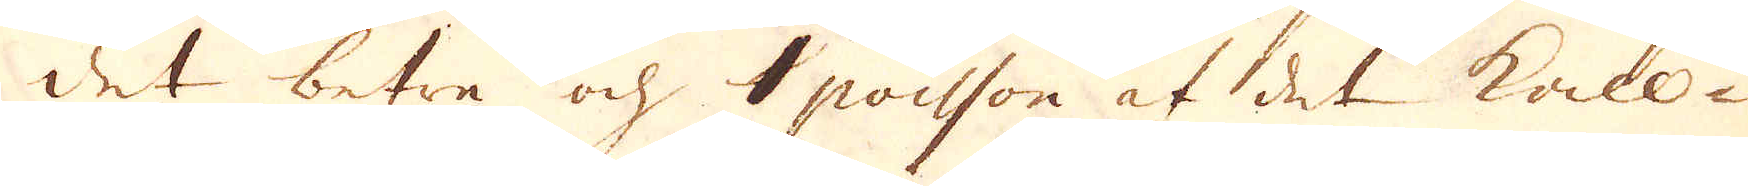det betre och 1 poisson af det kall-
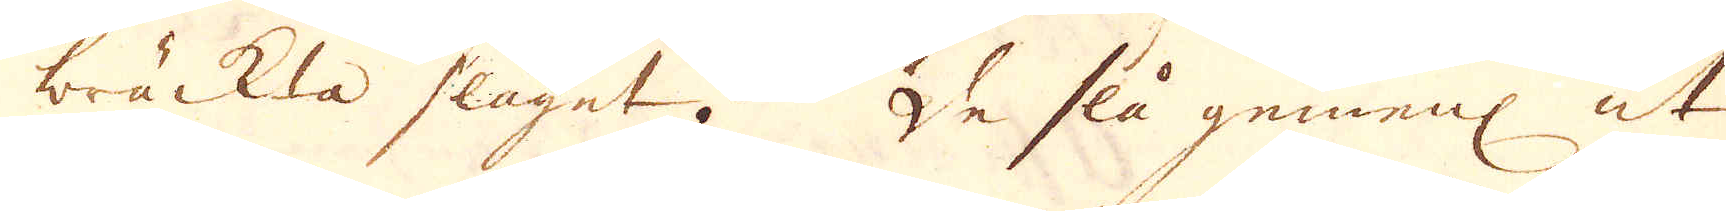bräckta slaget. De slå gemenl ut
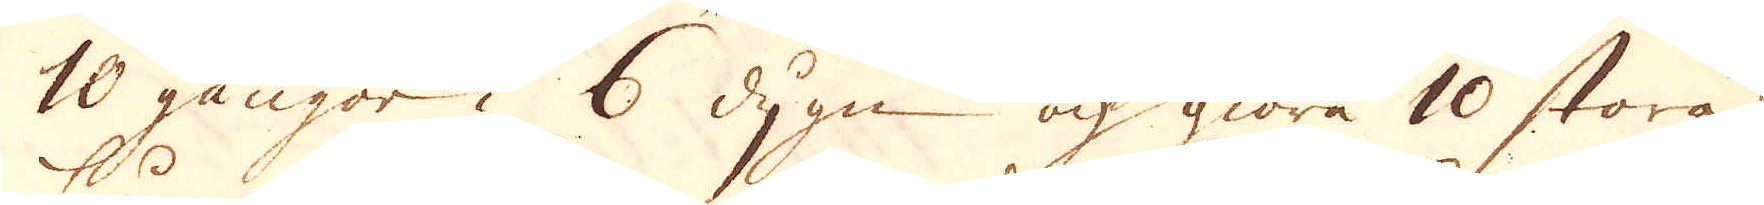10 gångor i 6 dygn och giöra 10 stora
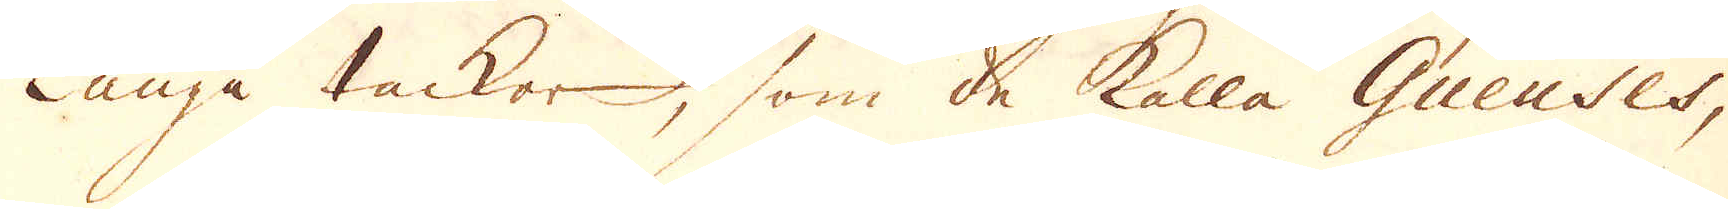Långa tackor, som de kalla Gueuses,
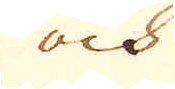och
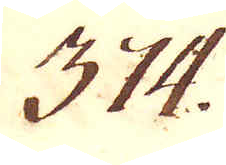374.
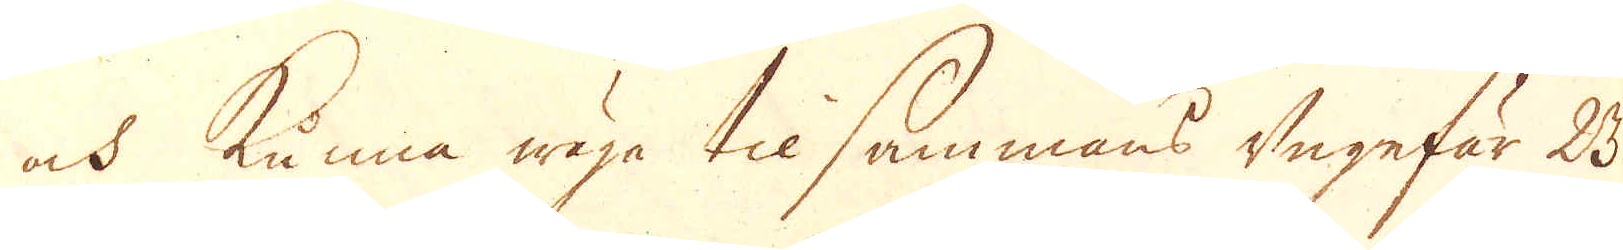och kunna wäga til sammans ungefär 23
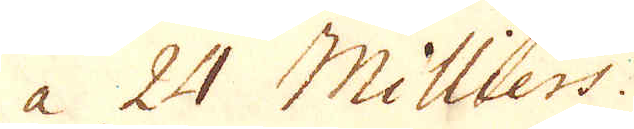a 24 Milllers.
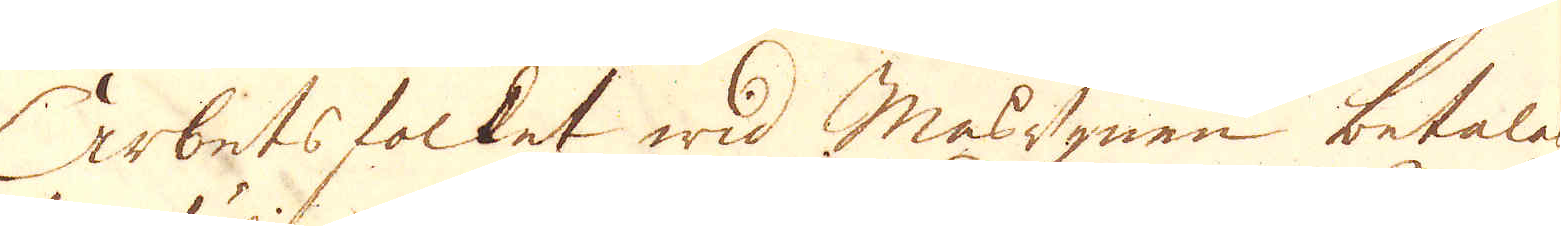Arbetsfolket wid Masugnen betalas
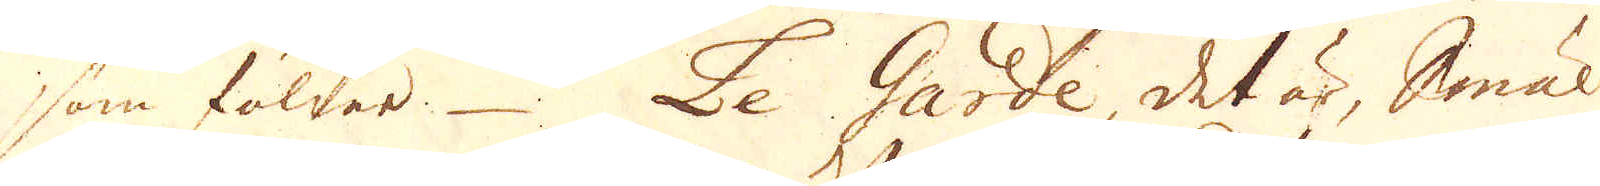som följer. Le Garde, det är, Smäl-
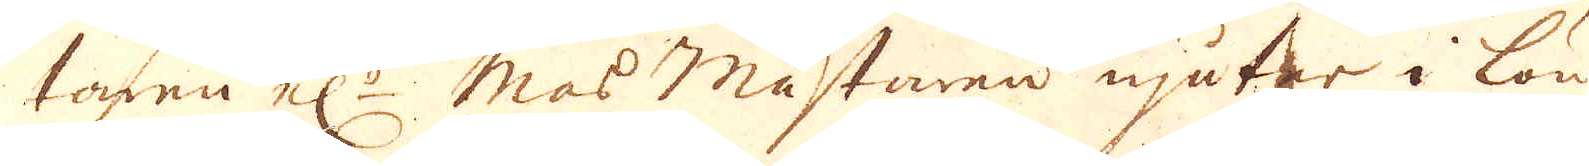taren el:r Mas mästaren njuter i lön
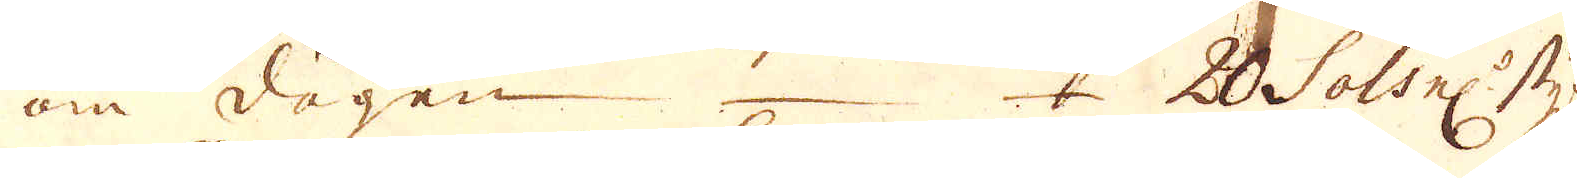om dagen 20 Sols el:r styf:r
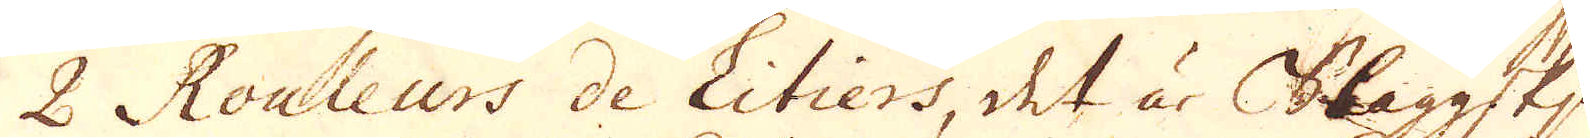2 Rouleurs de Litiers, det är Slaggskju-
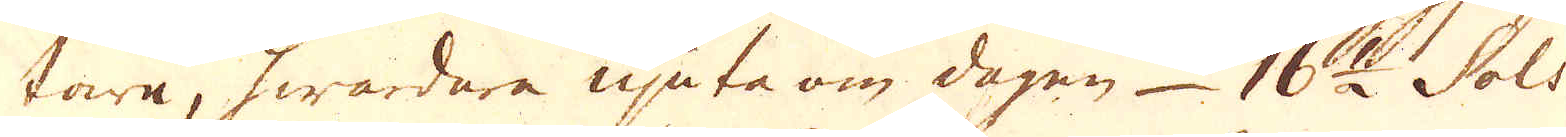tare, hwardara njuta om dagen 16 1/2 Sols
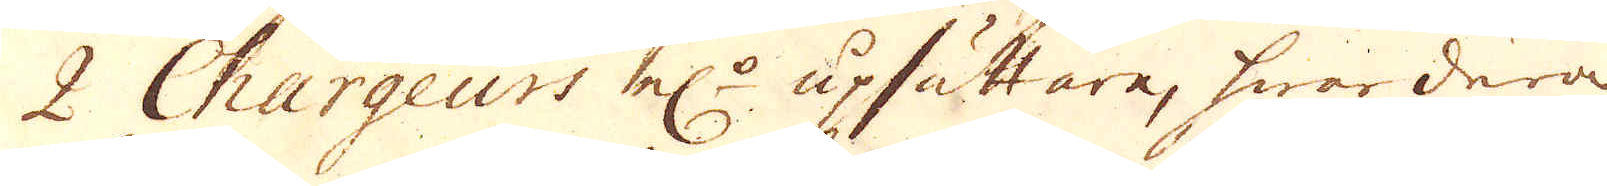2 Churgeurs el:r upsättare, hwardera
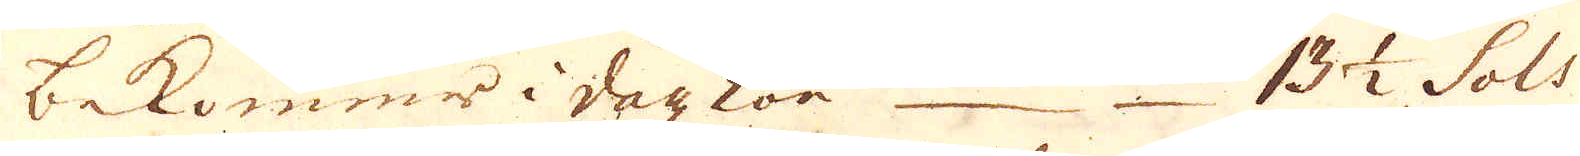bekorumr i deg kön 13 1/2 Sols
